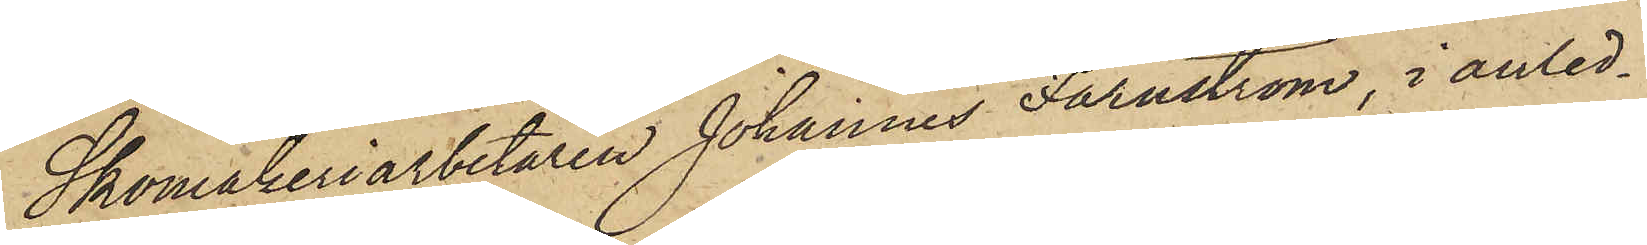Skomakeriarbetaren Johannes Färnström, i anled¬
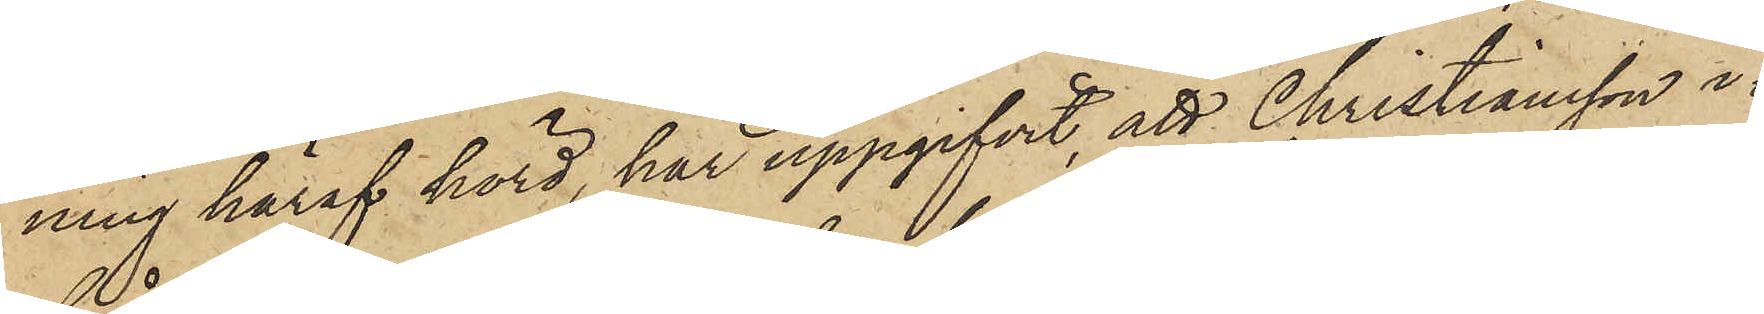ning häraf hörd, har uppgifvit, att Christiansson i¬
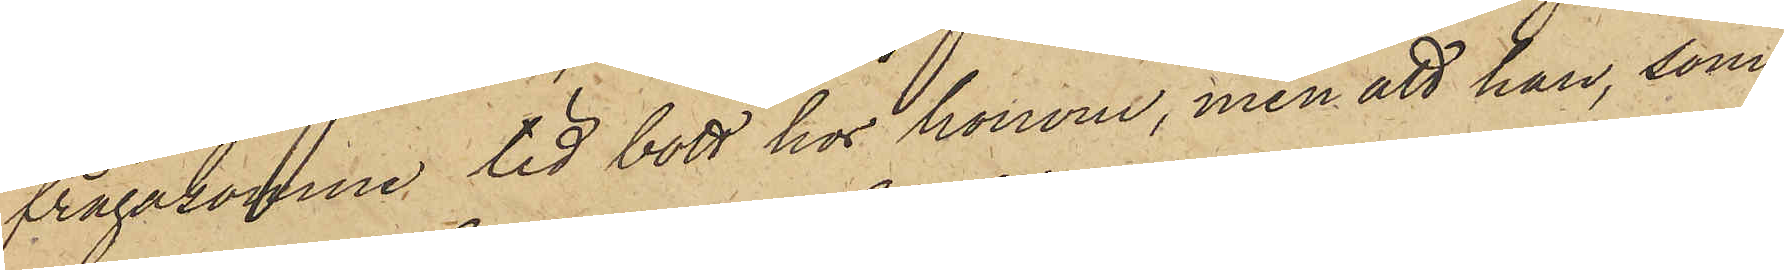frågakomne tid bott hos honom, men att han, som
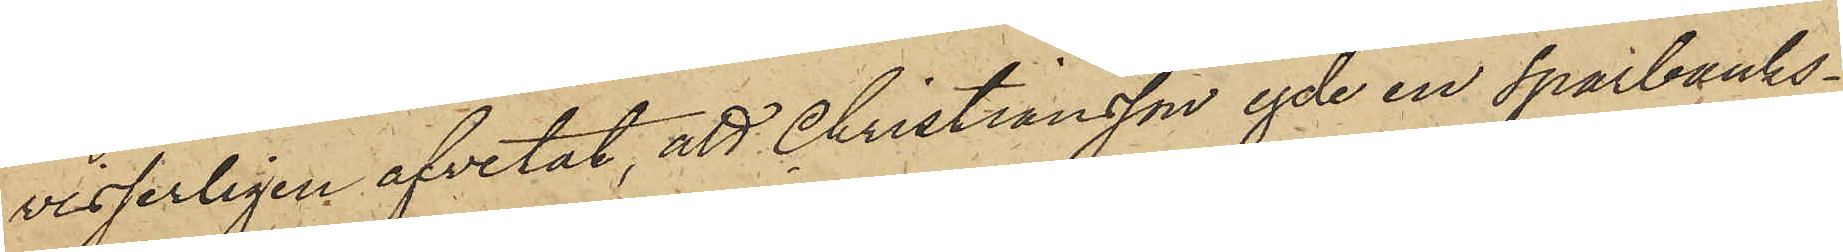visserligen afvetat, att Christiansson egde en Sparbanks¬
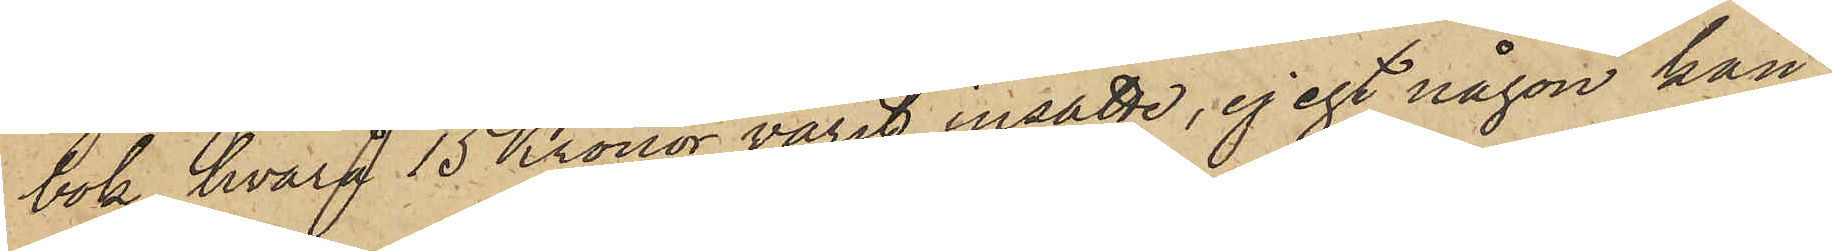bok, hvarå 15 Kronor varit insatte, ej egt någon kän¬
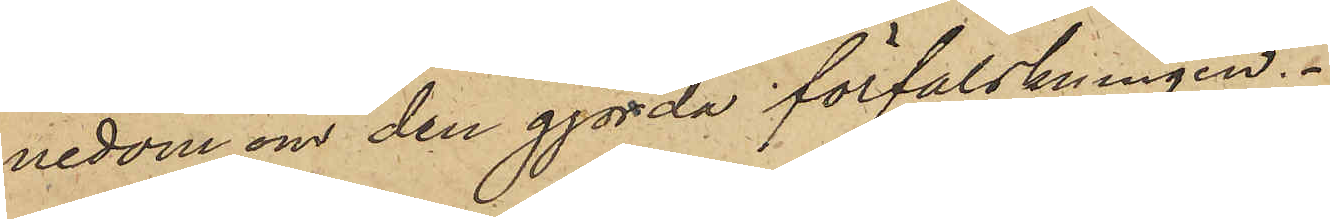nedom om den gjorda förfalskningen.
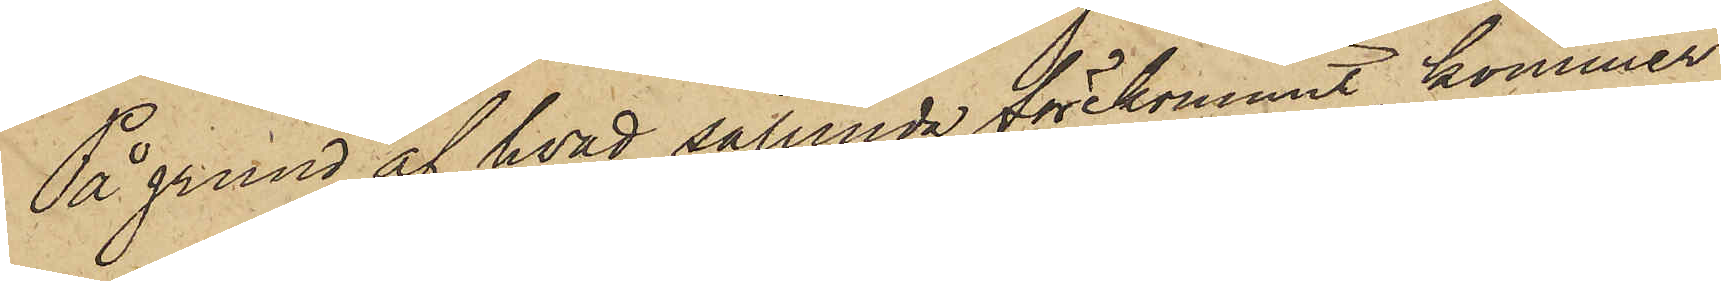På grund af hvad sålunda förekommit, kommer
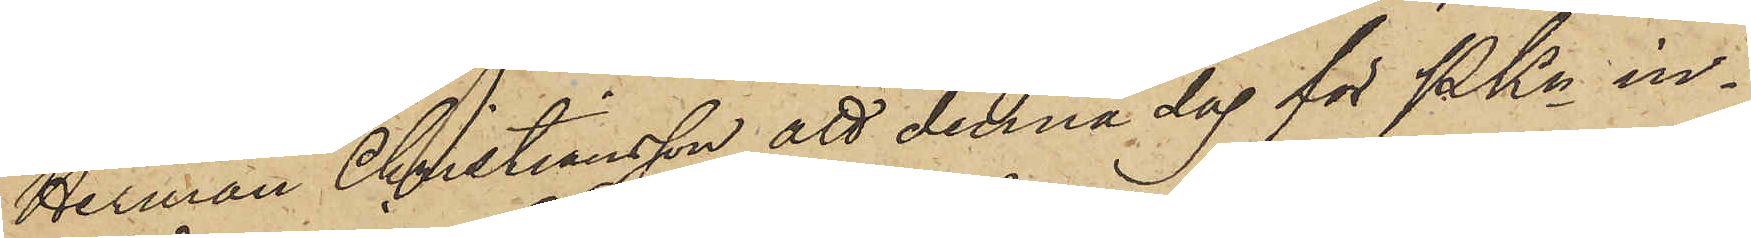Herman Christiansson att denna dag för PKn in¬
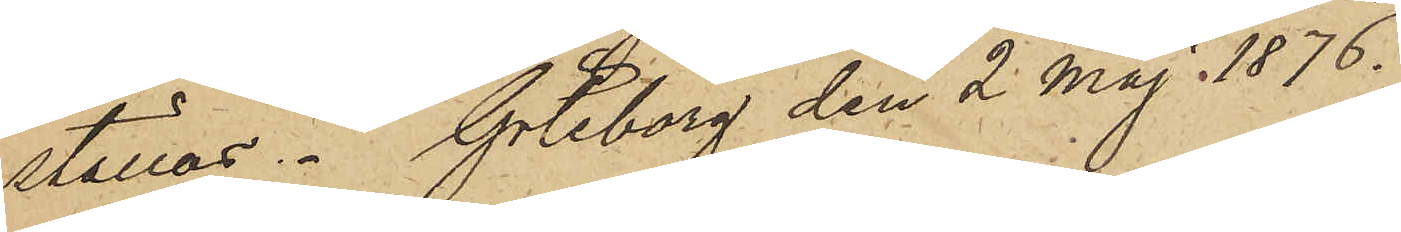ställas. Göteborg den 2 Maj 1876.
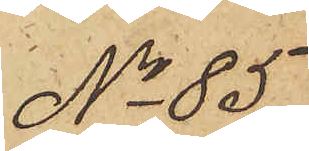No 85
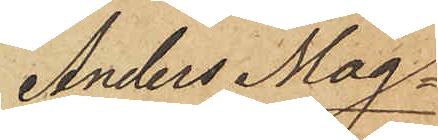Anders Mag¬
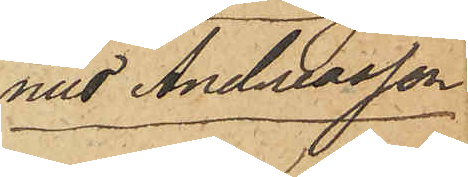nus Andreasson
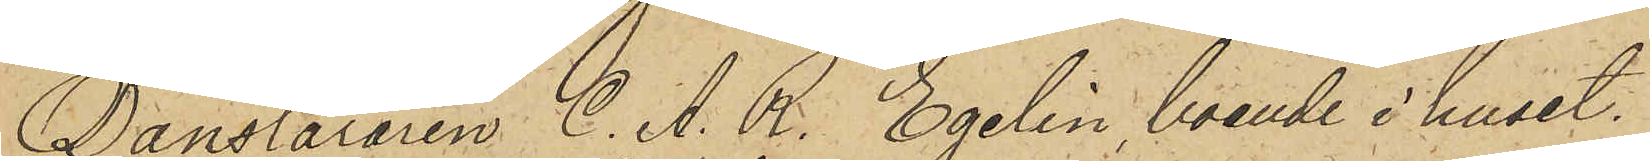Dansläraren C. A. R. Egelin, boende i huset
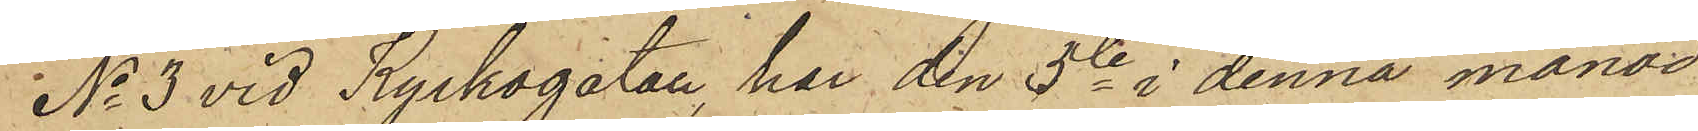No 3 vid Kyrkogatan, har den 5te i denna månad
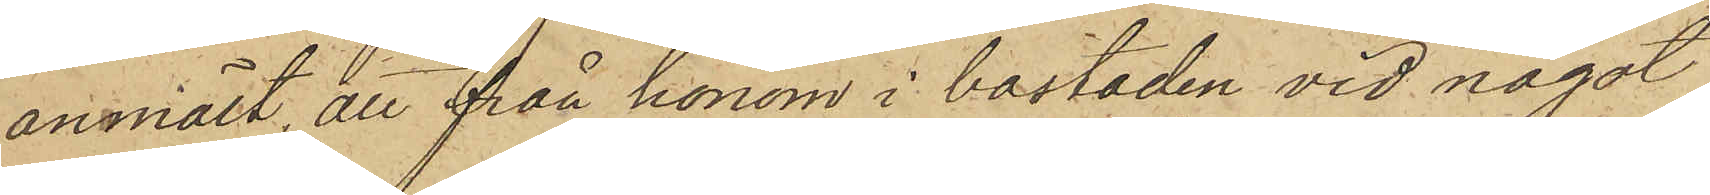anmält, att från honom i bostaden vid något
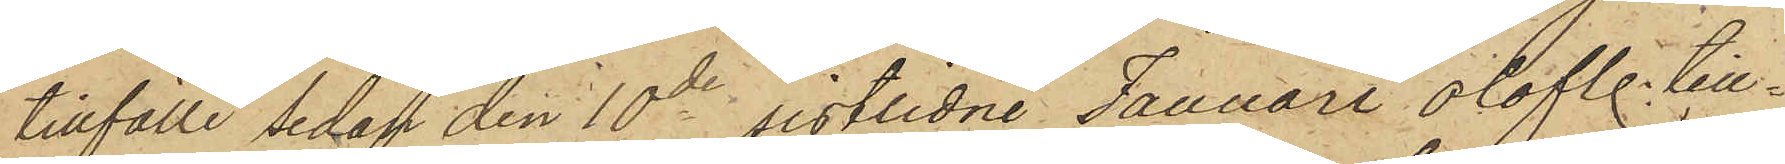tillfälle sedan den 10de sistlidne Januari olofl. till¬
